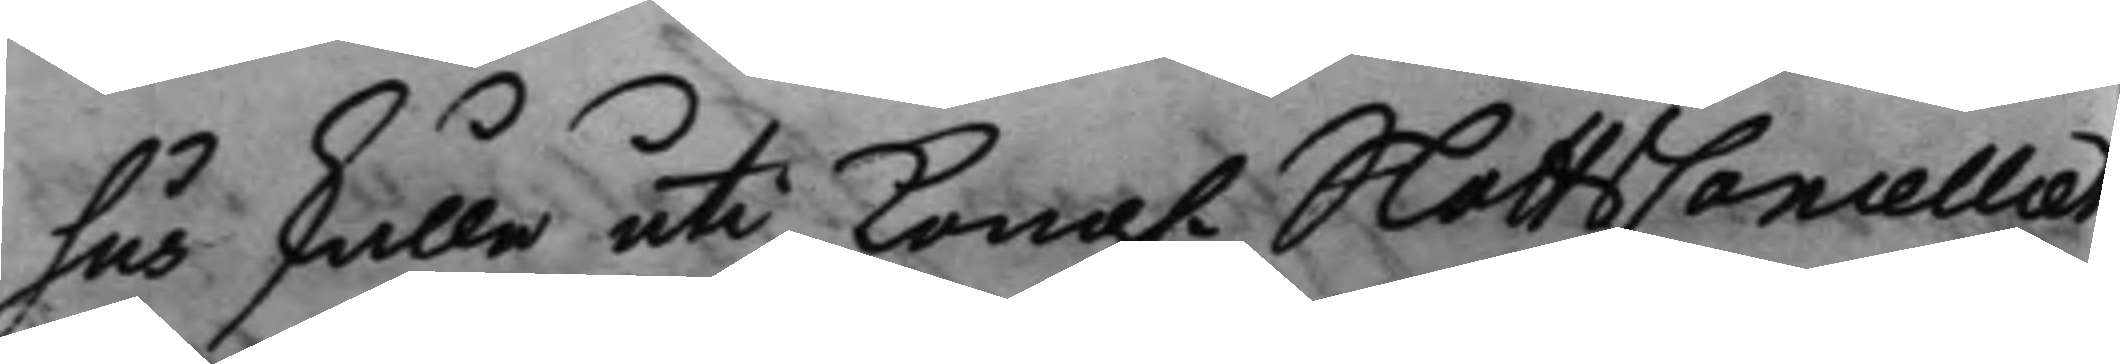hus skulle uti Kong. SlottsCancelliet
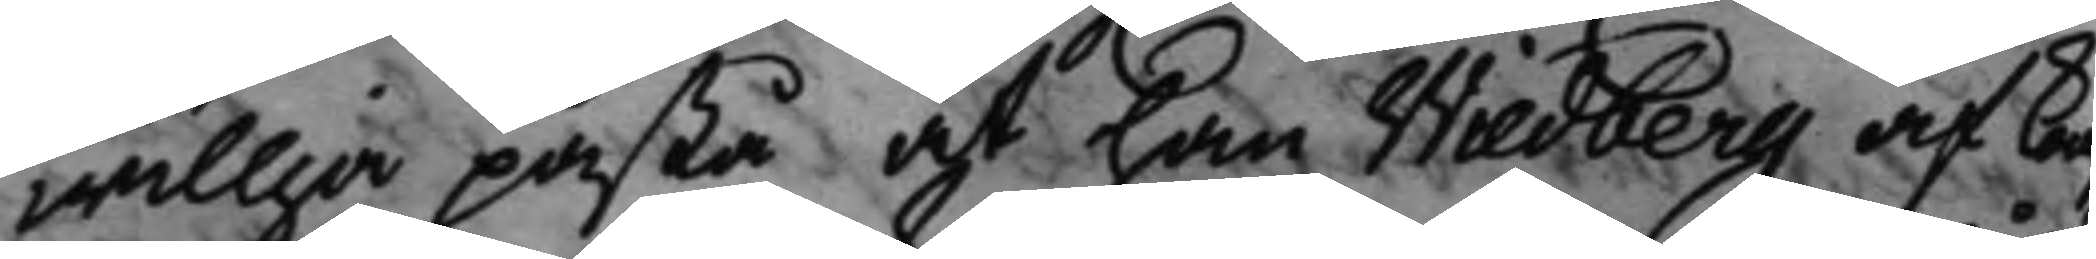willja påstå af han Wiedberg af Kong
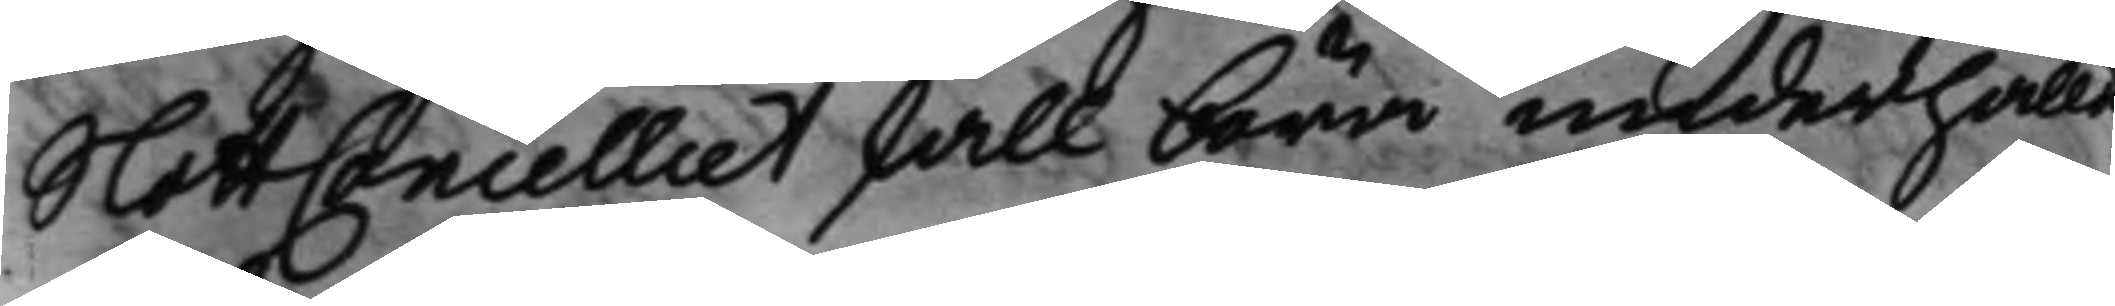SlottzCancelliet skall böra underhålld
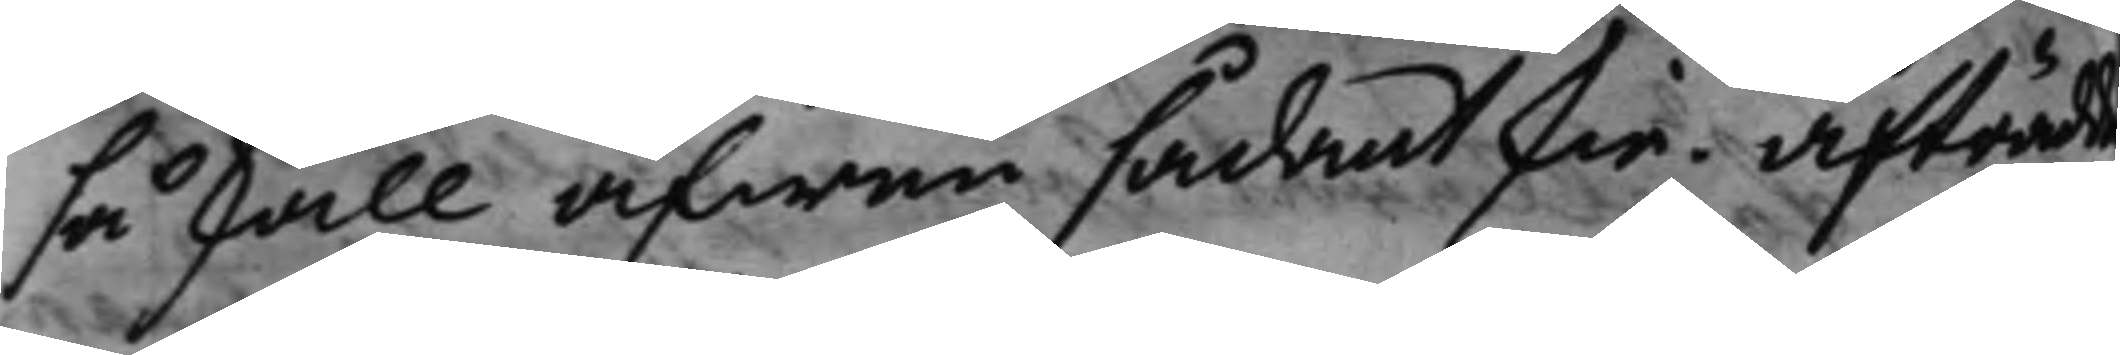så skall äfwen sådant skie. Afträdde
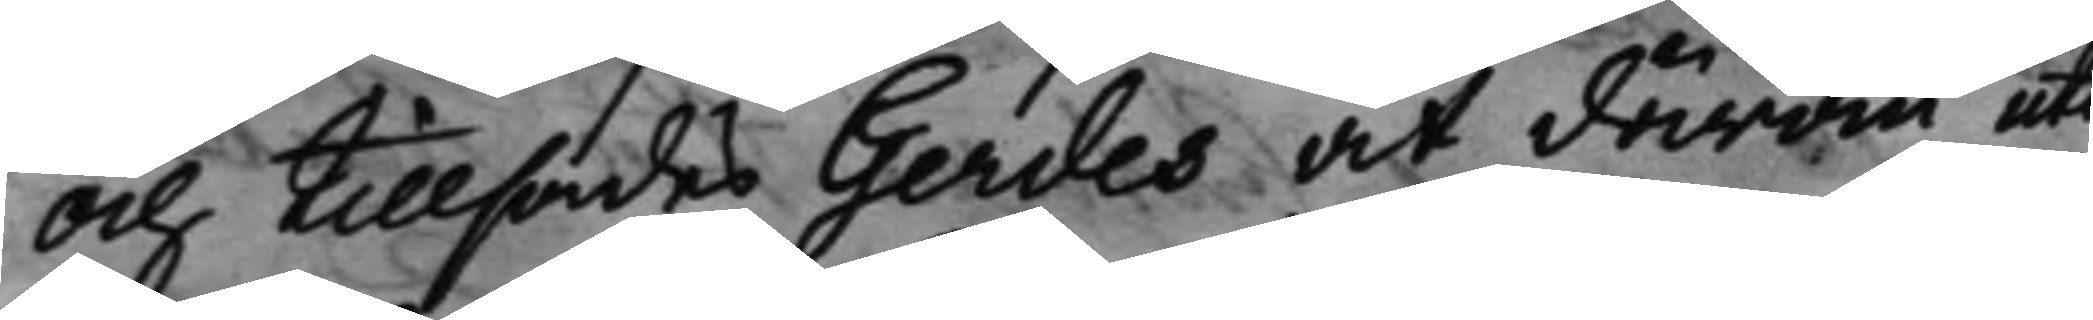och tillsades Gerdes at därom uti
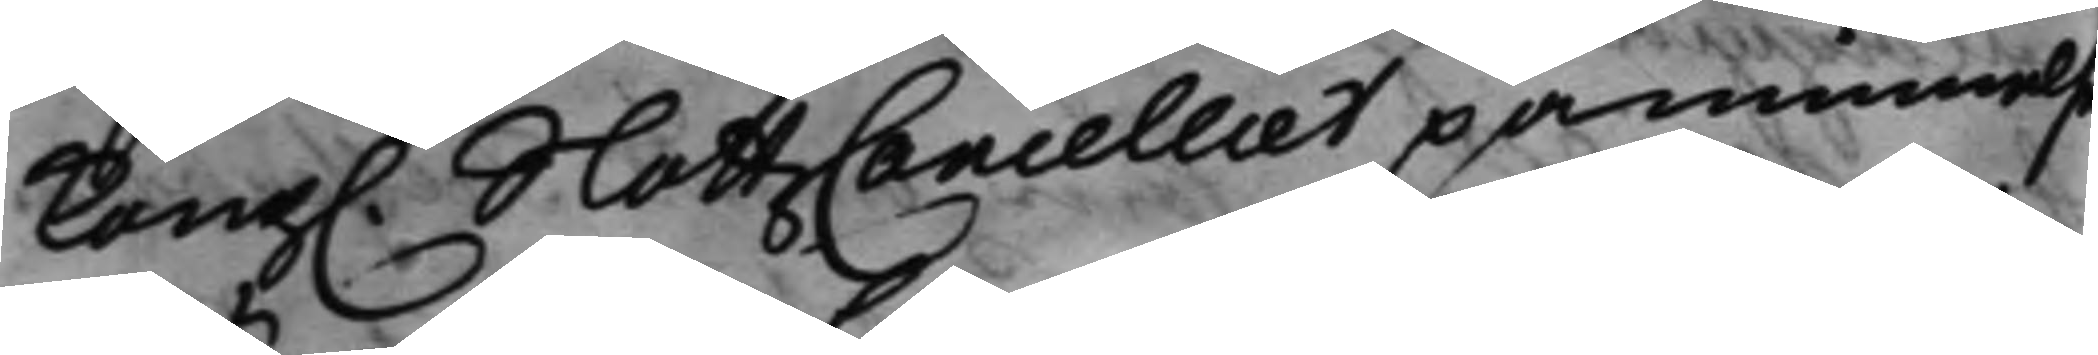Kong. SlottzCancelliet påminnelse
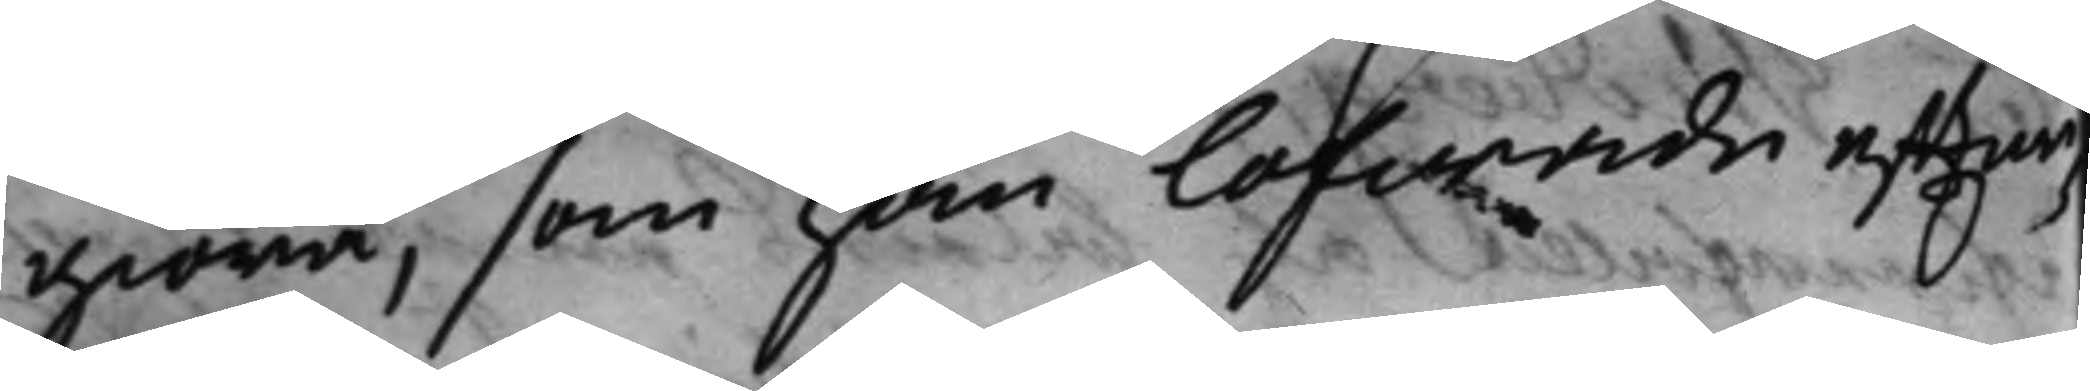giöra, som han lofwade effter¬
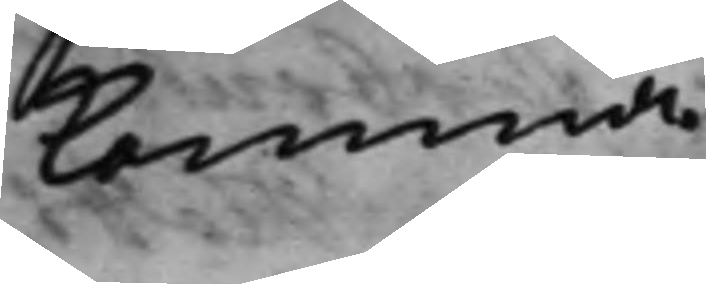komma.
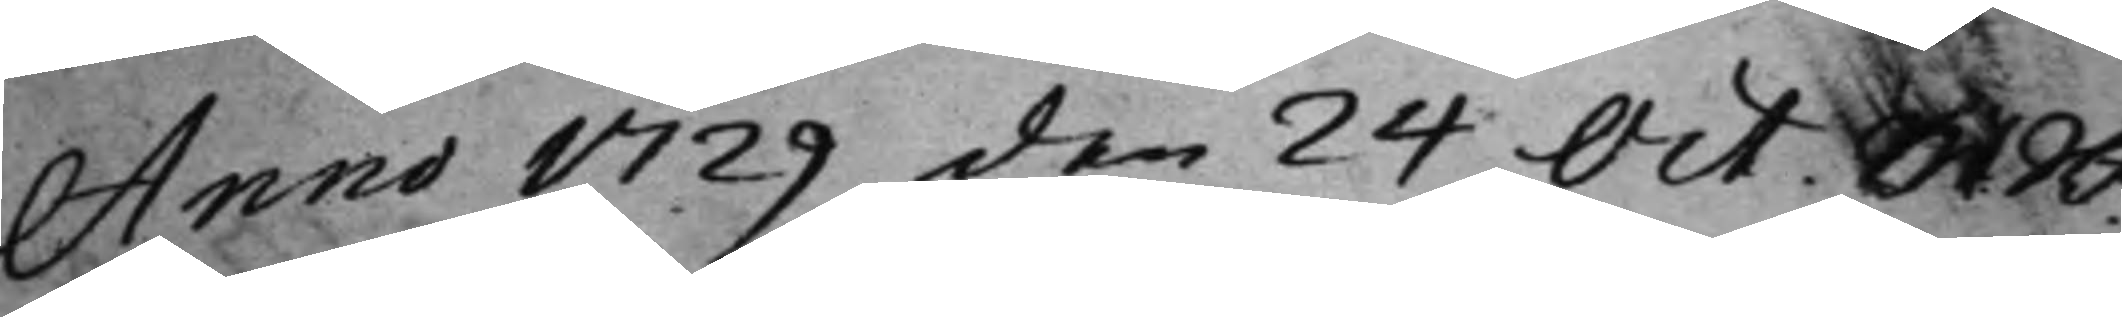Anno 1729 den 24 Oct M: R:t
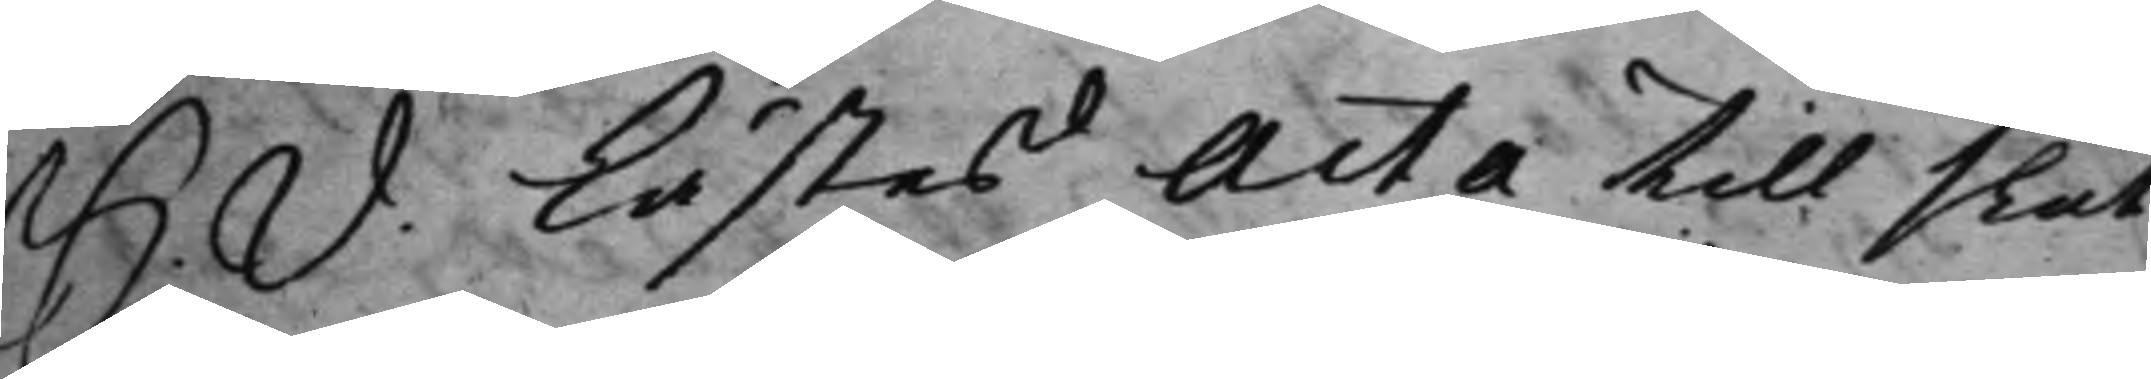S: d: Lästes Acta till slut
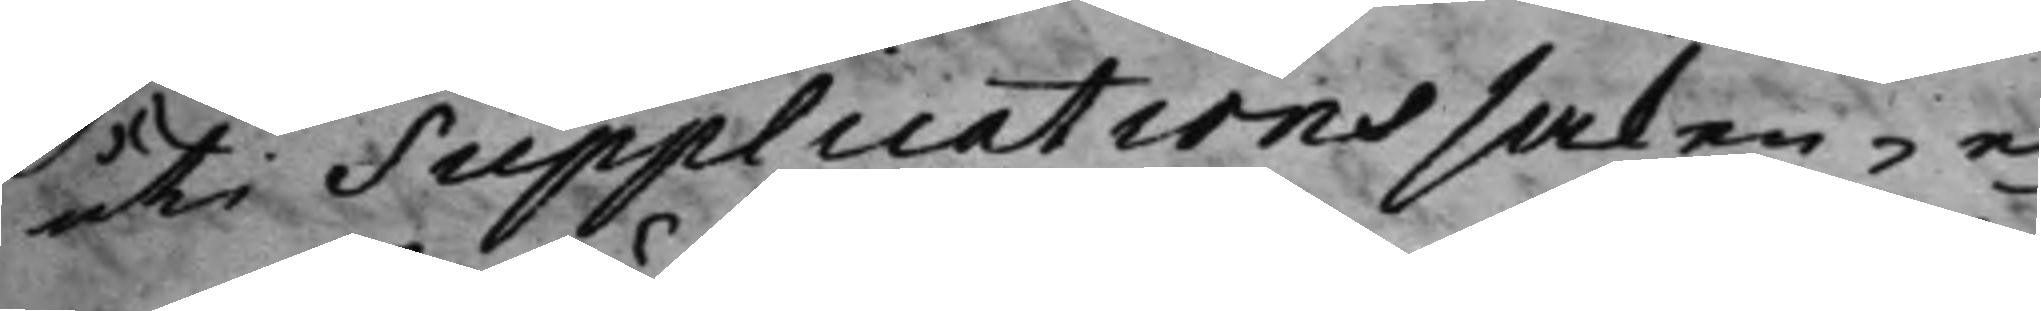uti Supplications saken, e¬
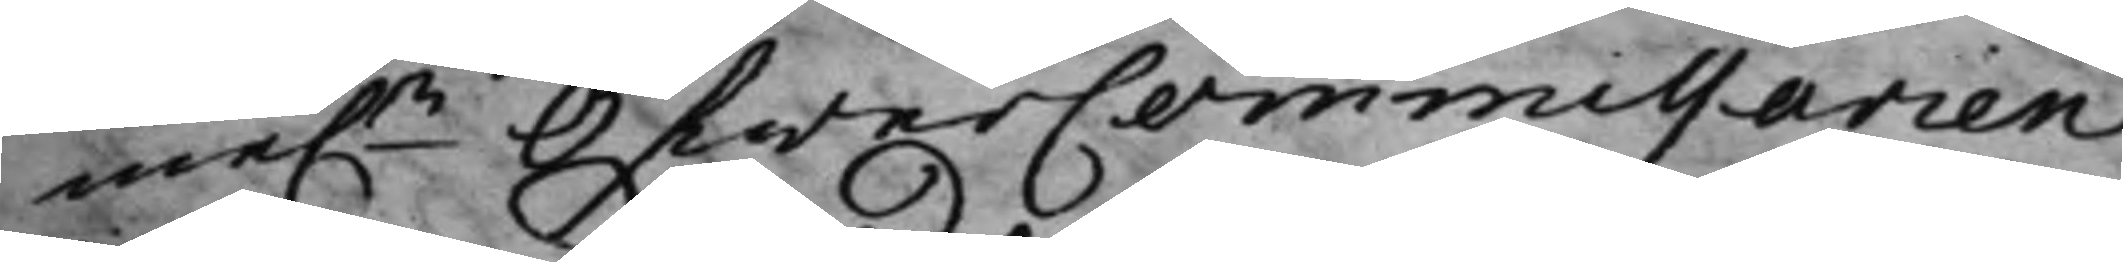me.n ÖfwerCommissarien
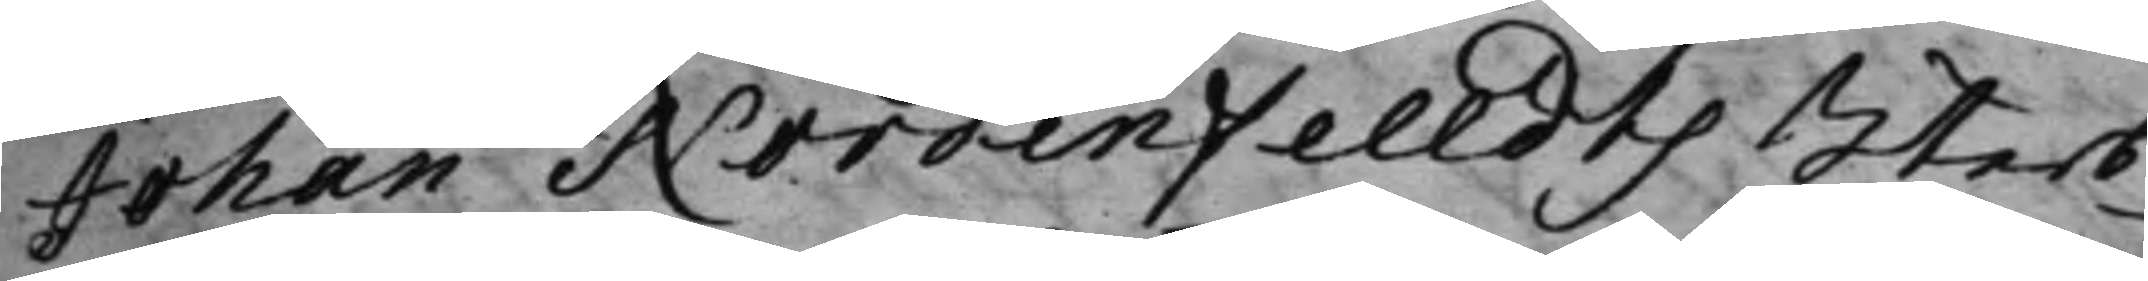Johan Nordenfelldts Sterb¬
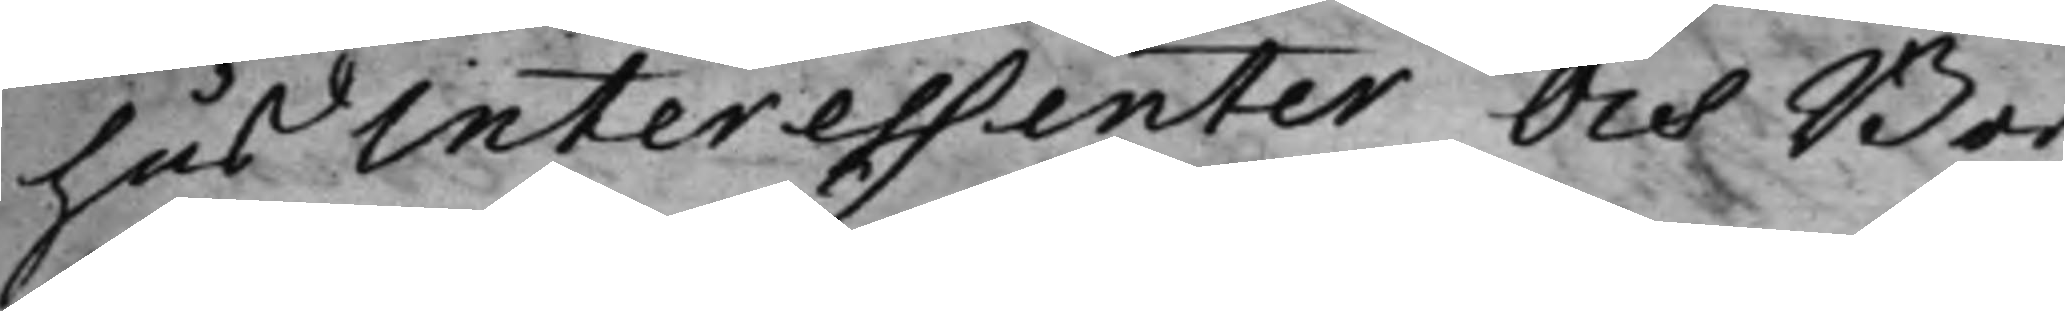hus Interessenter och Bor¬
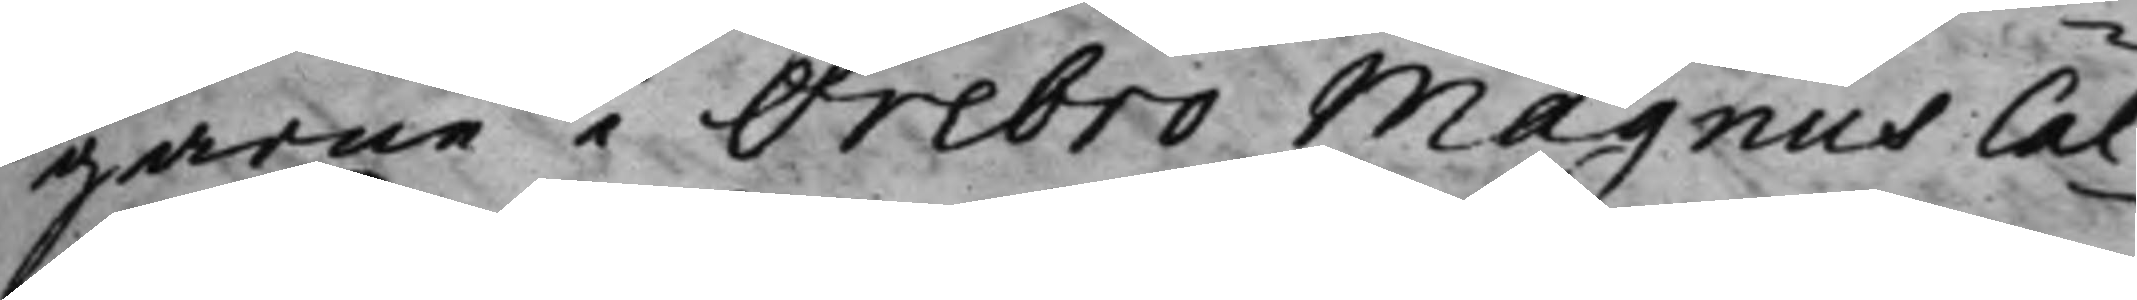garne i Örebro Magnus Cal¬
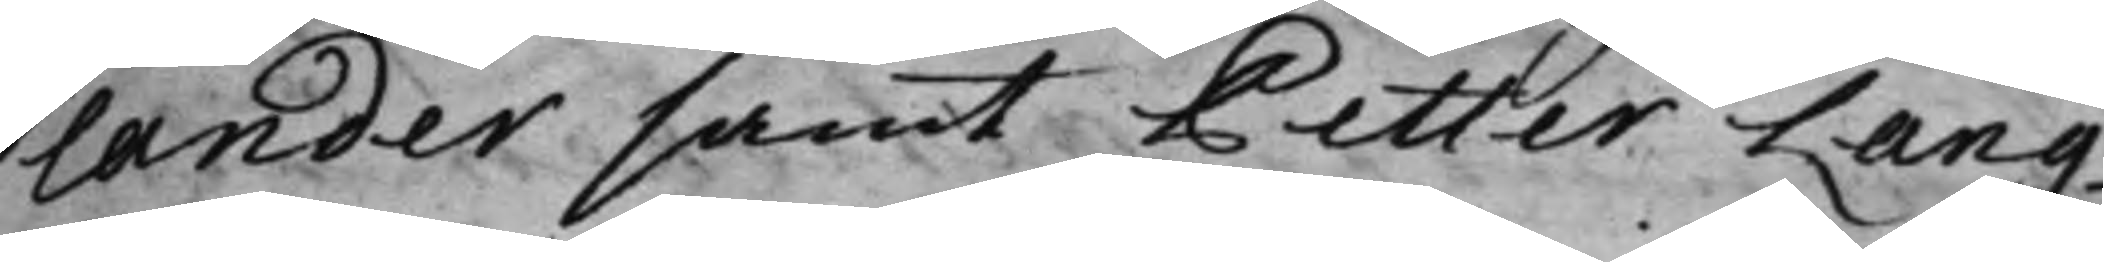lander samt Petter Lang¬
